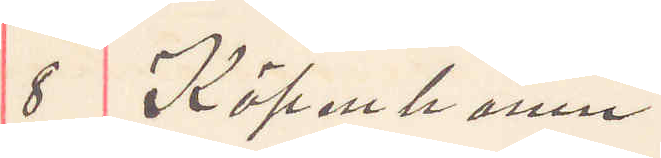8 Köpenhamn
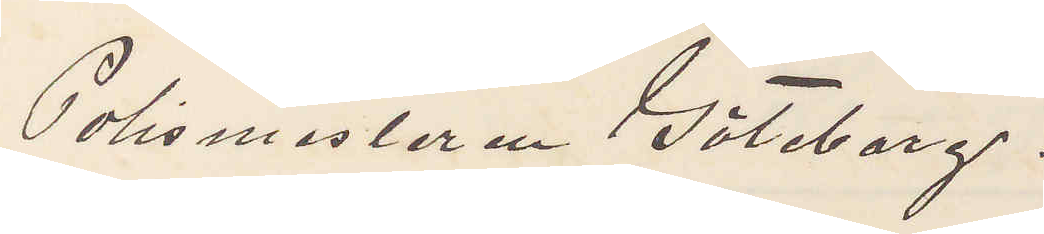Polismästaren Göteborg.
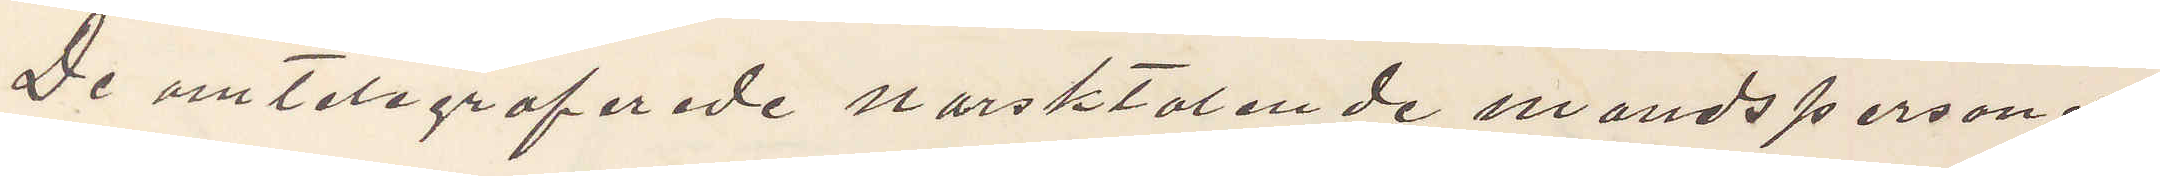De omtelegraferade norsktalende mandspersoner
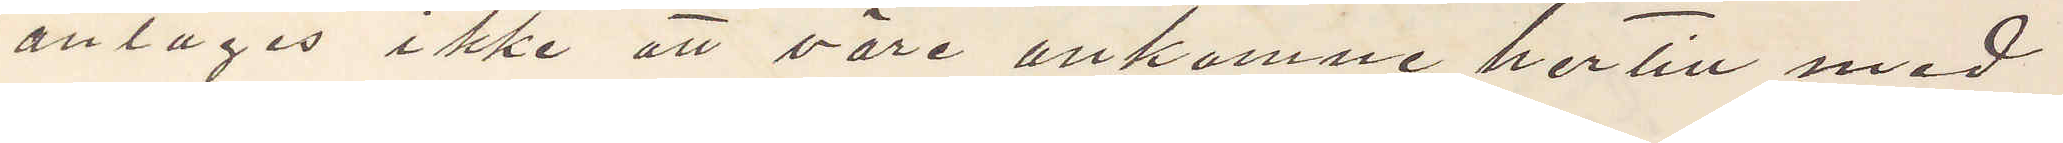antages ikke att väre ankomne hertill med
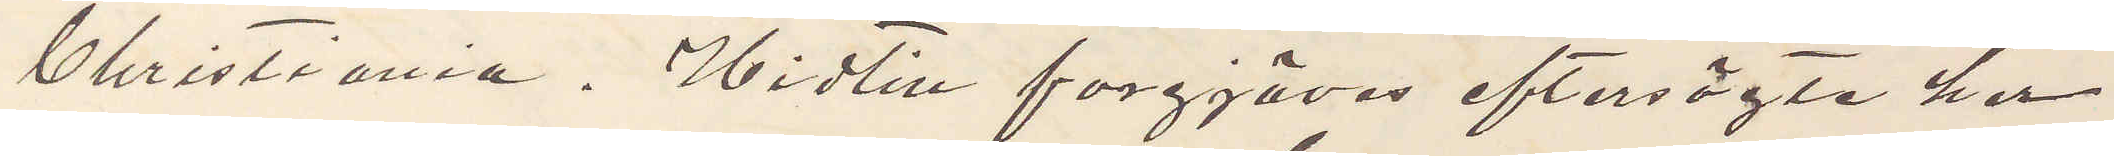Christiania. Hidtin forgjäves eftersögte her
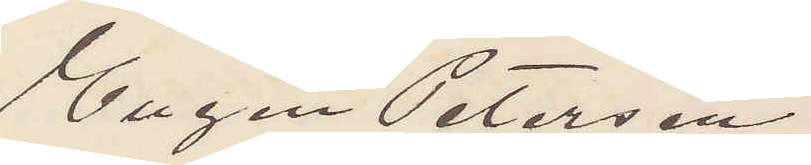Eugen Peterson
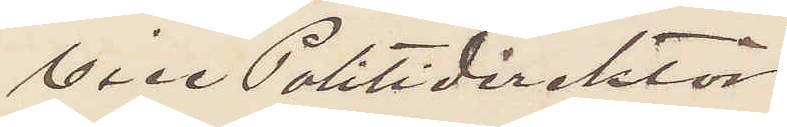Vice Politidirektör
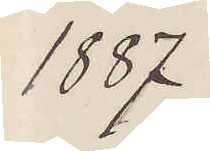1887
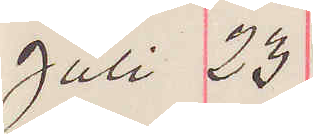Juli 23
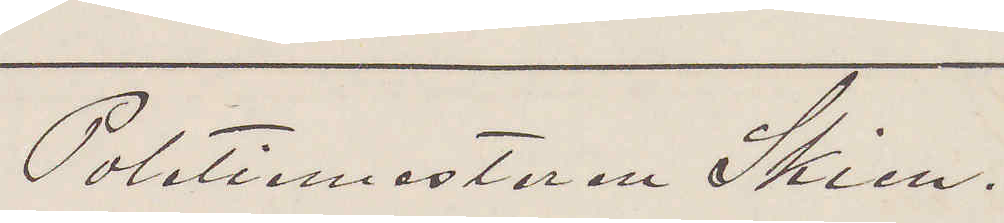Politiemesteren Skien.
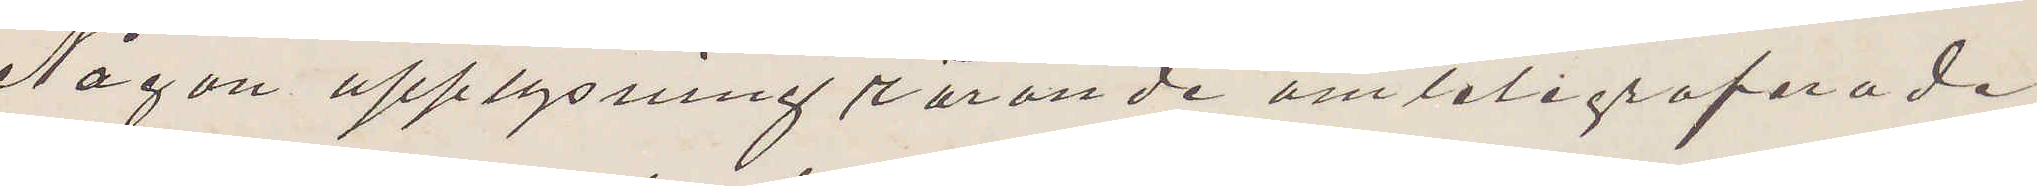Någon upplysning rörande omteligrafarade
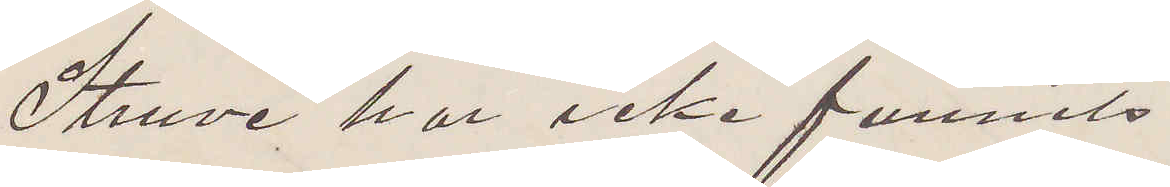Struve har icke funnits.
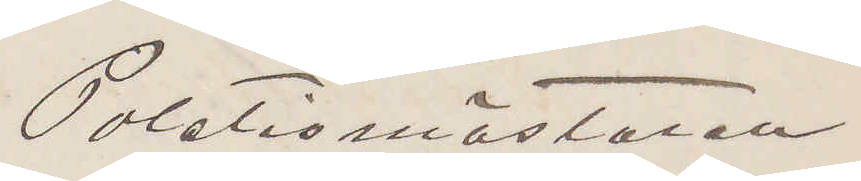Politiömästaren
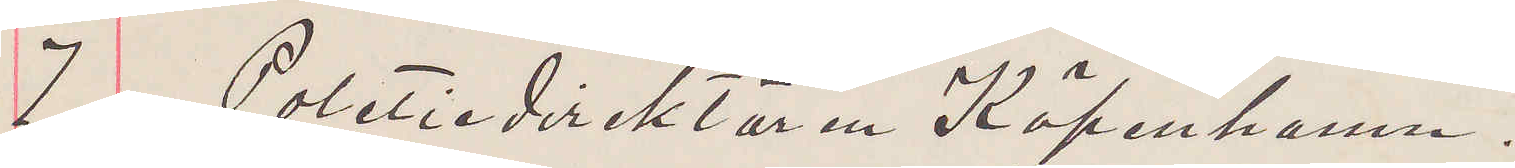7 Politiedirektören Köpenhamn.
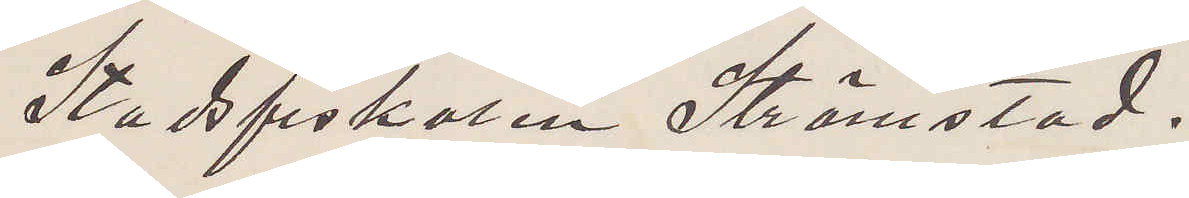Stadsfiskalen Strömstad.
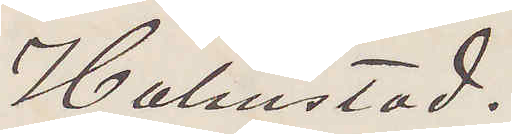Halmstad.
